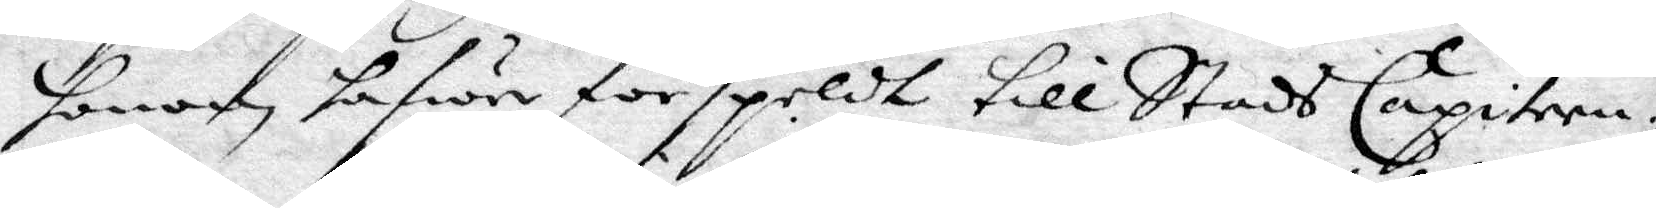honom hafwe förspeldt till StadsCapiten¬
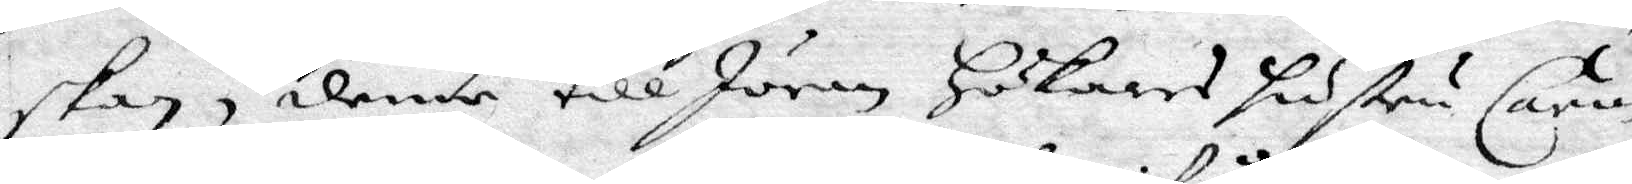skan, denne till Jöran Hökares Hustru Carin
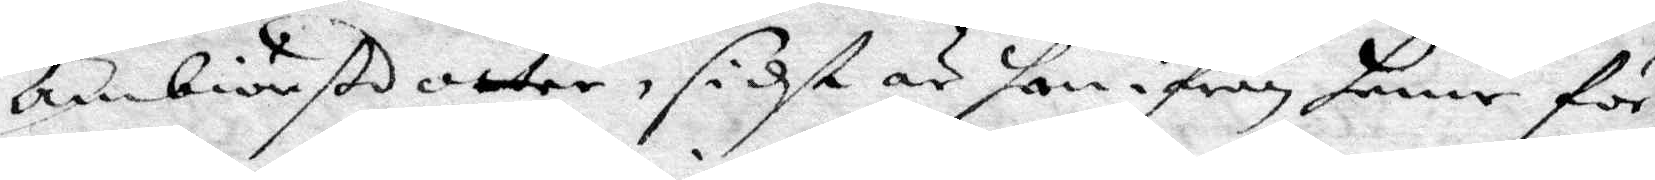Ambiörnsdotter, sidst är han ifrån henne för¬
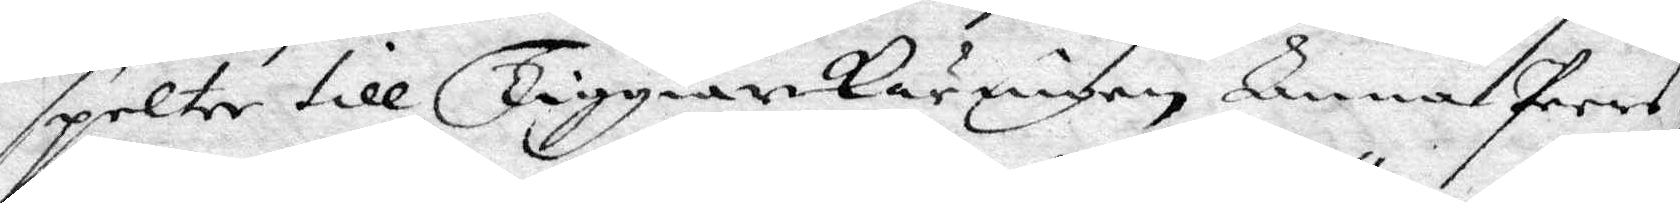spelte till Tiggiarkäringen Anna Pers¬
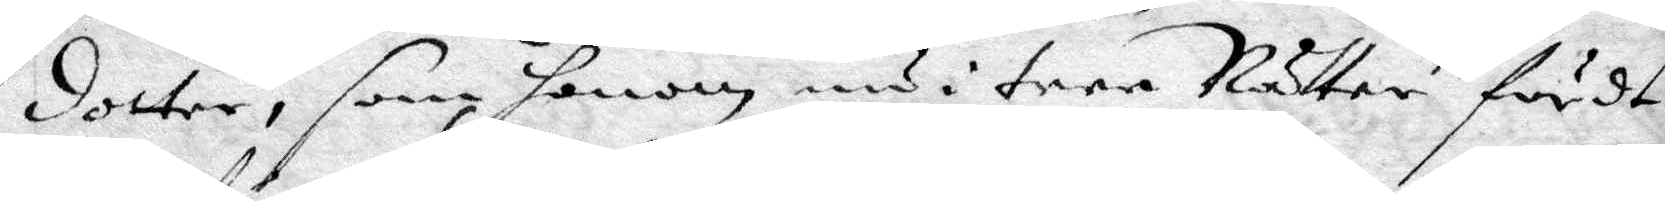dotter, som honom nu i tree Nätter fördt.
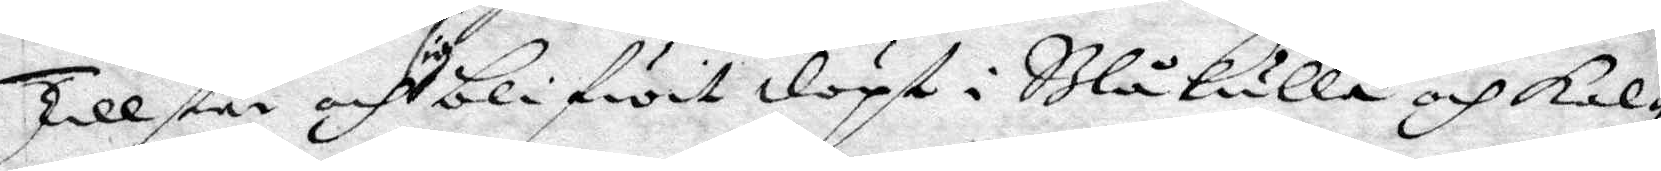Tillstå och sig blifwit döpt i Blåkulla och kal¬
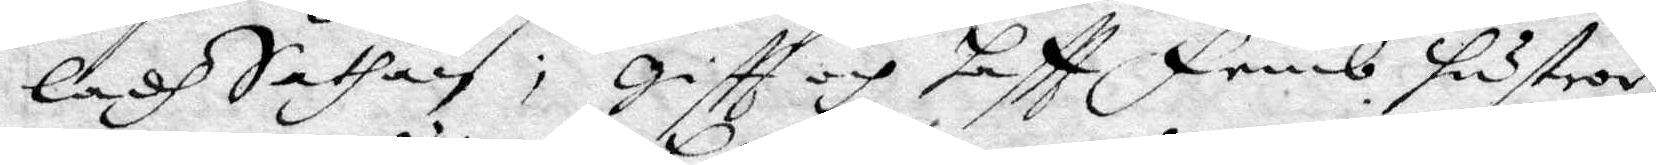ladh Sathan; giftt och haftt Femb Hustror
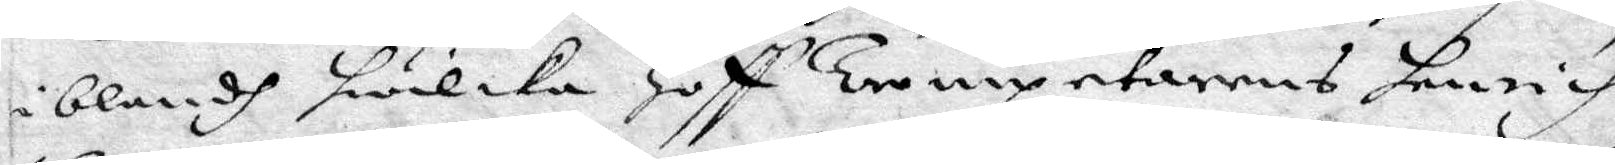iblandh heilka Hoff Trumpetarens henrich
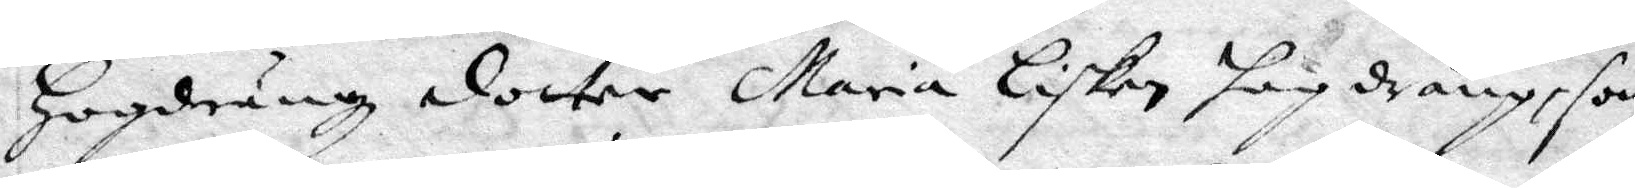Hogdrängz doctor Maria Lisken hog dräng, som
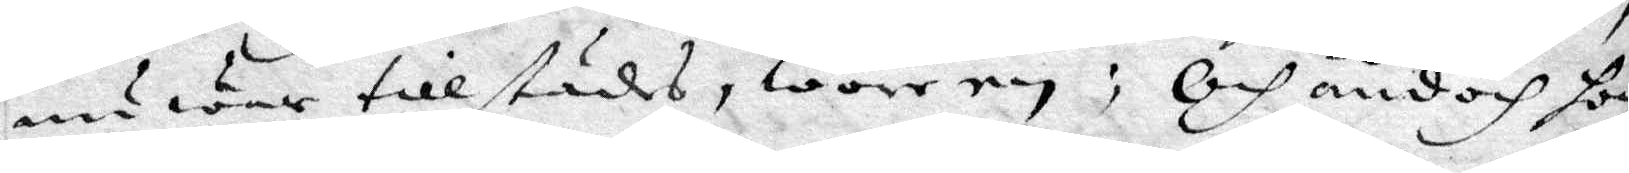nu war tillstådes, wore ey; Och ändoch hon
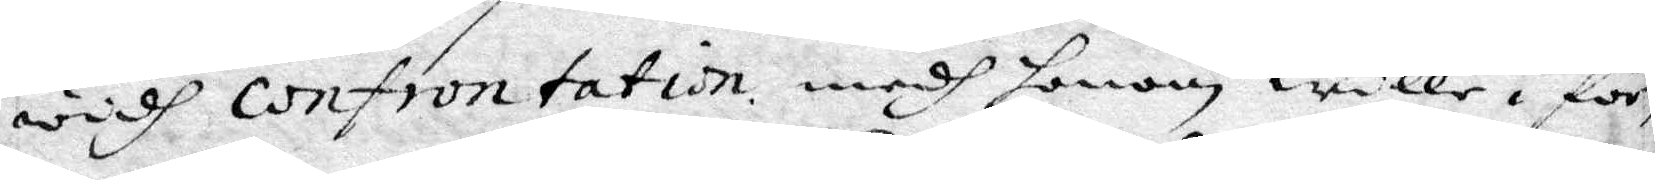wedh confrontation medh honom wille i för¬
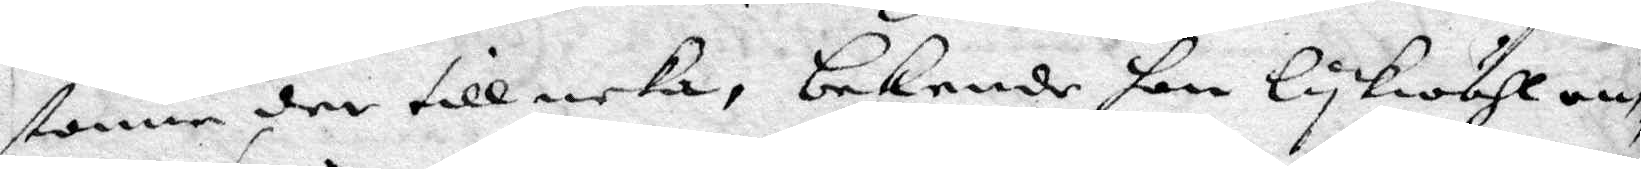stone der till neka, bekende han lykwähl om¬
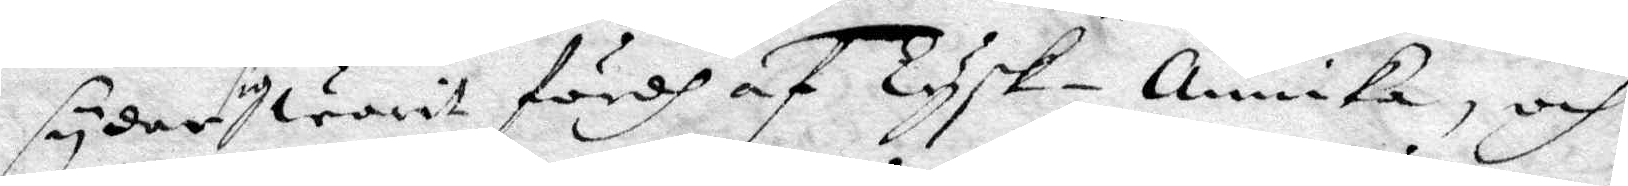syder sig warit af Tysk-Annika, och
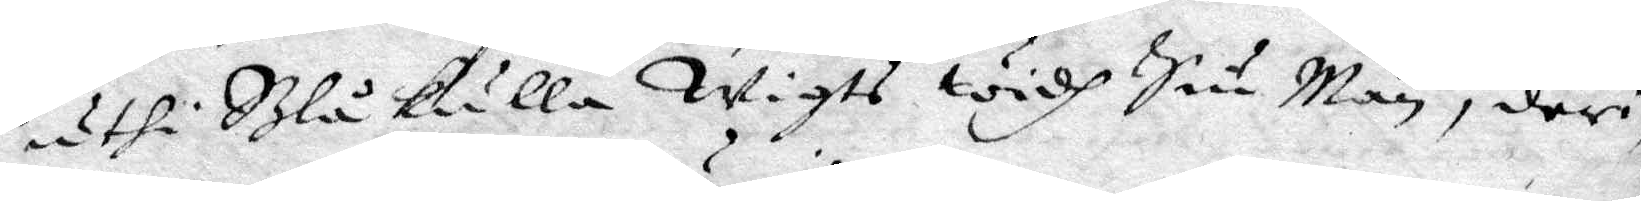uthi Blåkulla Wigts widh Siu Män, deri¬
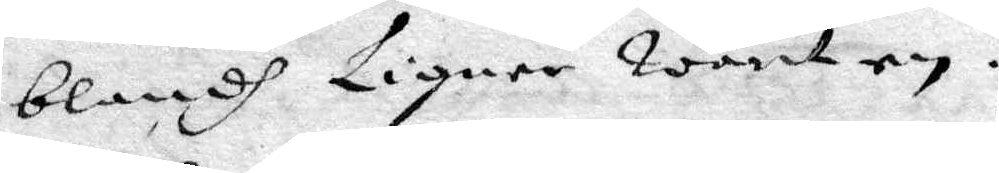blandh Ligner warit ey.
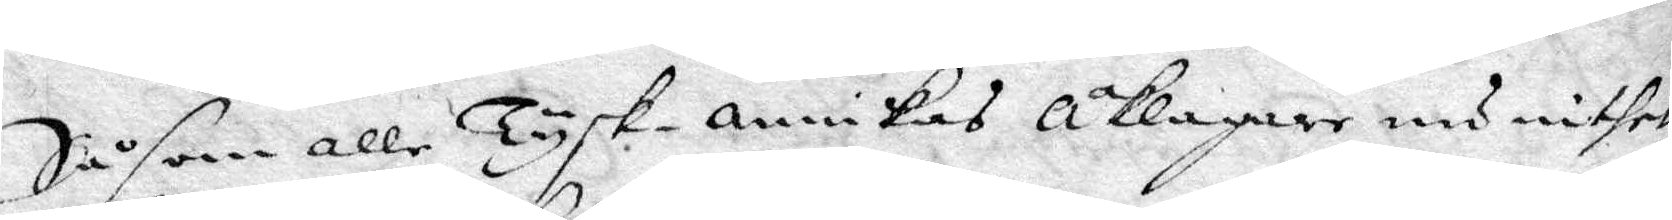Såsom alle Tysk-annikas åklagare nu inthet
